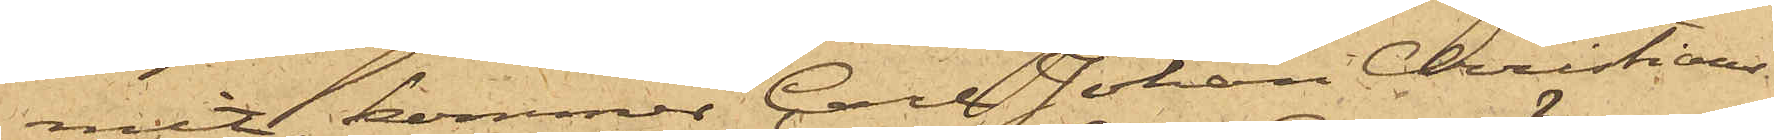mit, kommer Carl Johan Christians¬
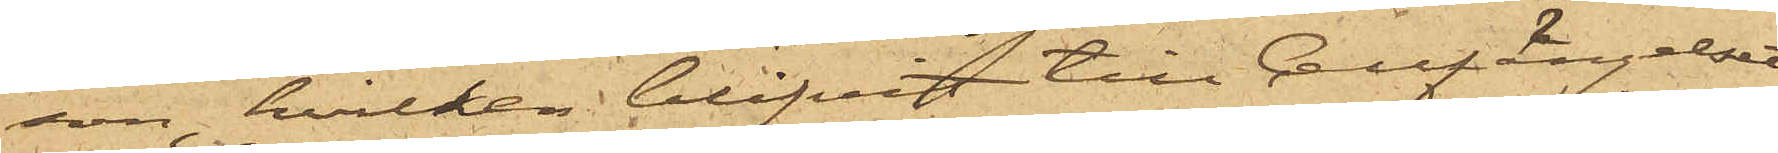son, hvilken blifvit till Cellfängelset
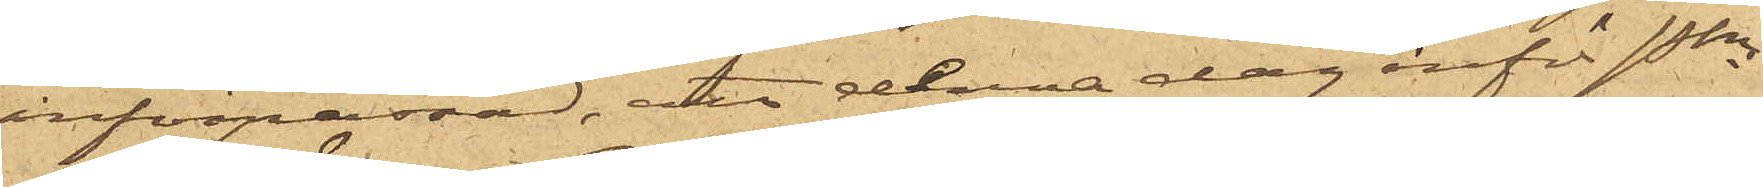införpassad, att denna dag inför Pkn
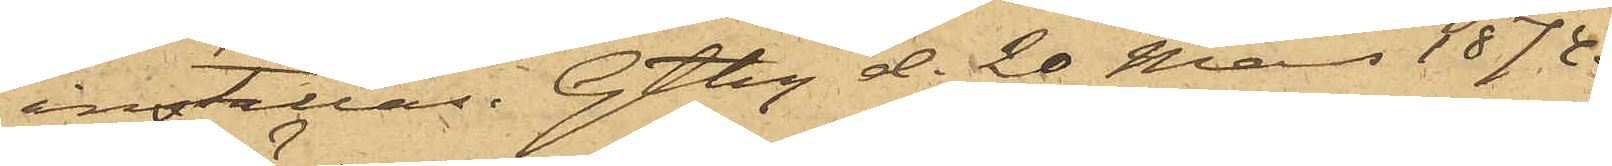inställas. Gtbg d. 20 Mars 1874.
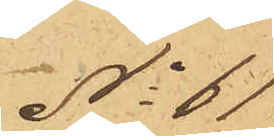No 61
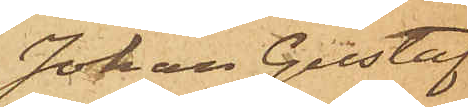Johan Gustaf
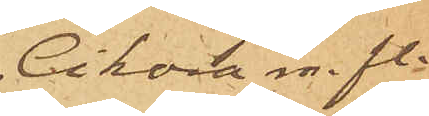Sikora m. fl.
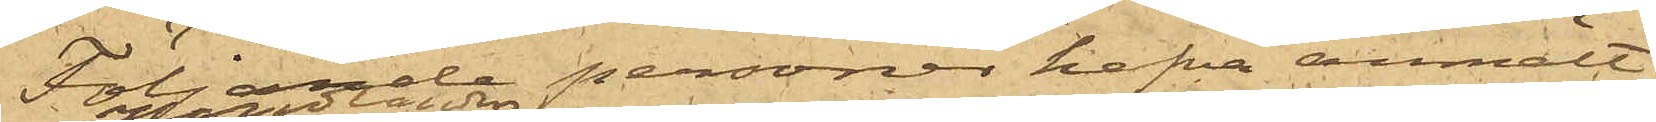Följande personer hafva anmält:
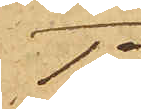1o
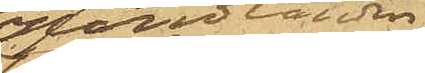Handlanden 
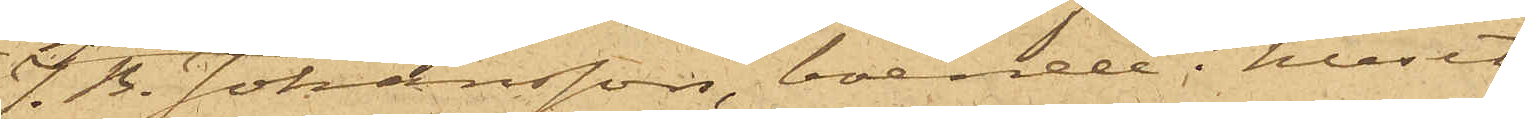J. B. Johansson, boende i huset
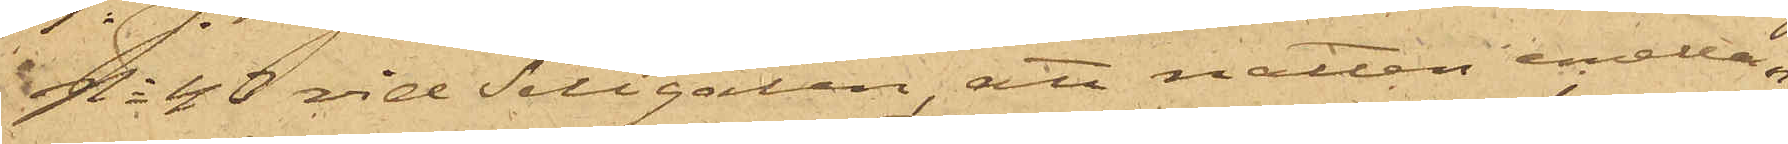No 43 vid Sillgatan, att natten emellan
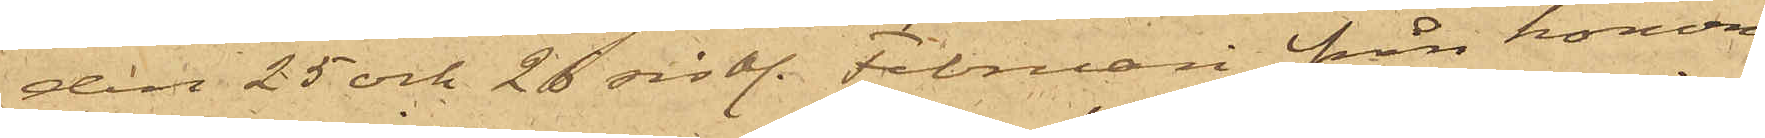den 25 och 26 sist. Februari från honom
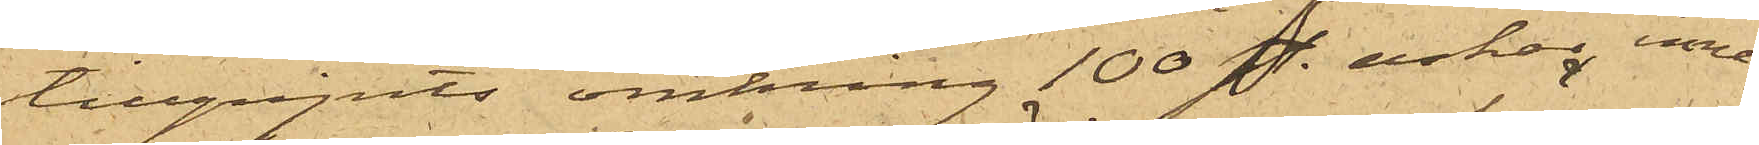tillgripits omkring 100 st askar, inne¬
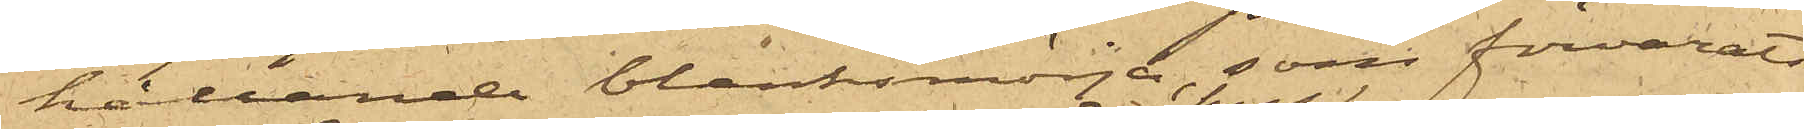hållande blanksmörja, som förvarats
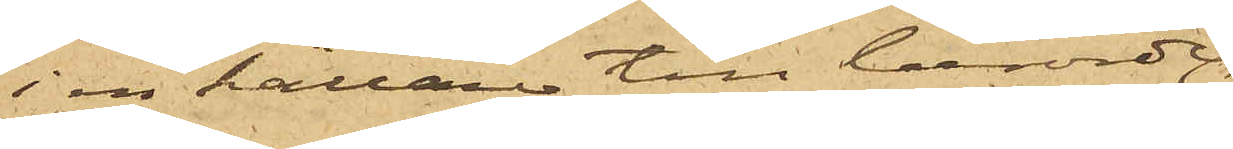i en källare till berörde
